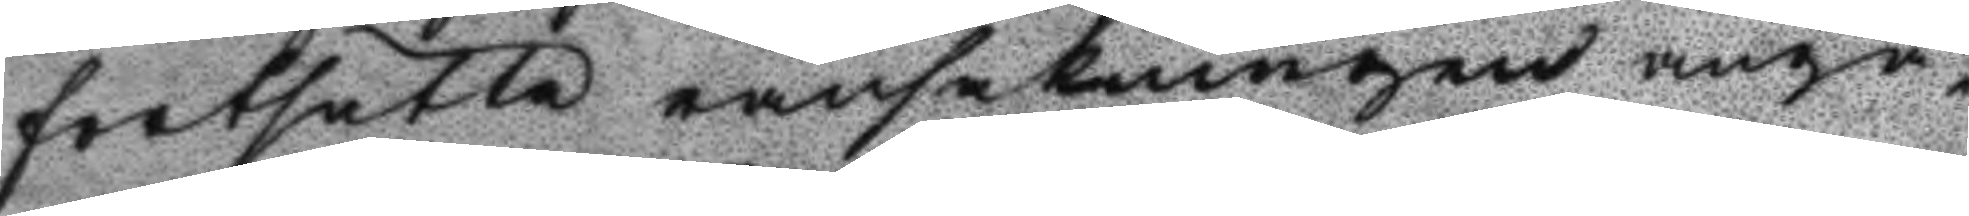fortsätta ransakningen angåe¬
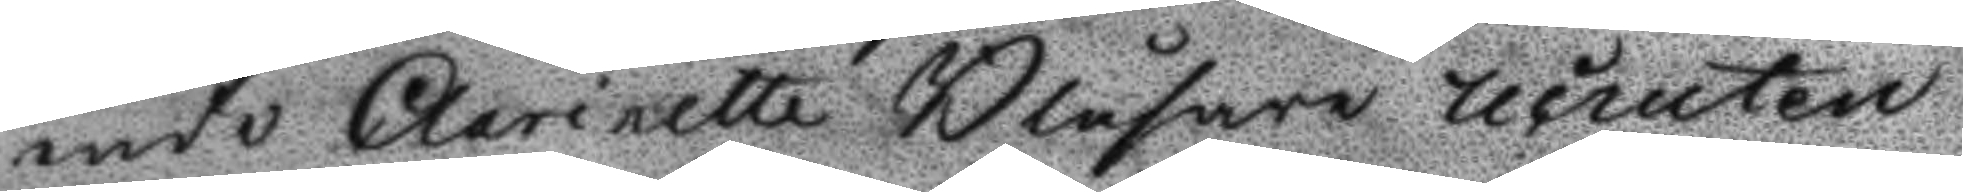ende Clarinette Blåsare recruten
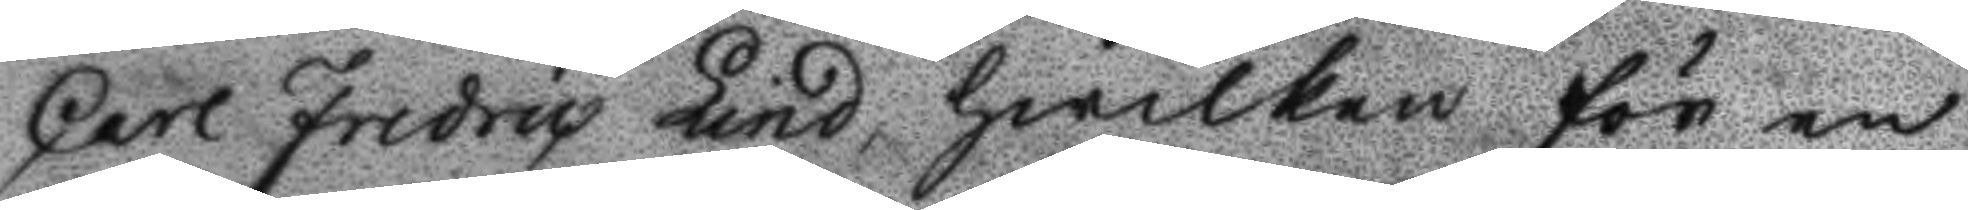Carl Fredric Lind, hwilken för en
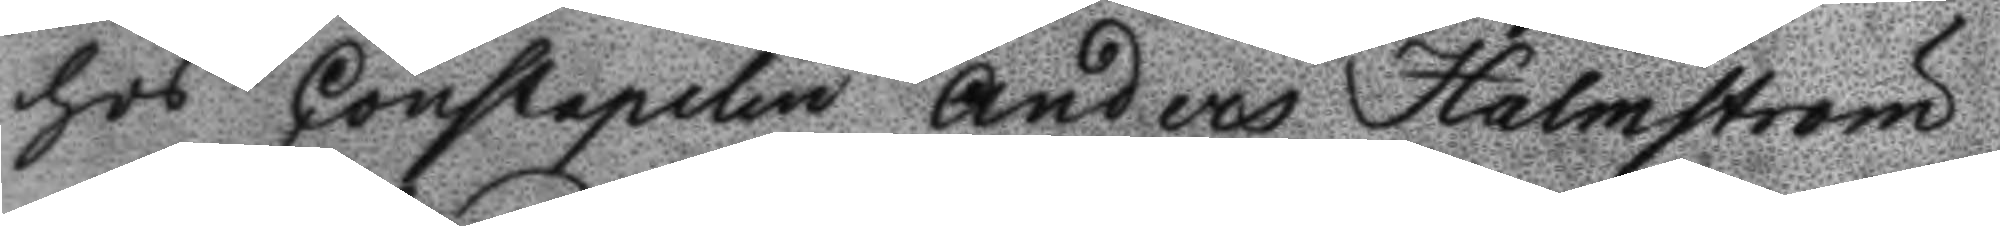hos Constapelen Anders Halmström
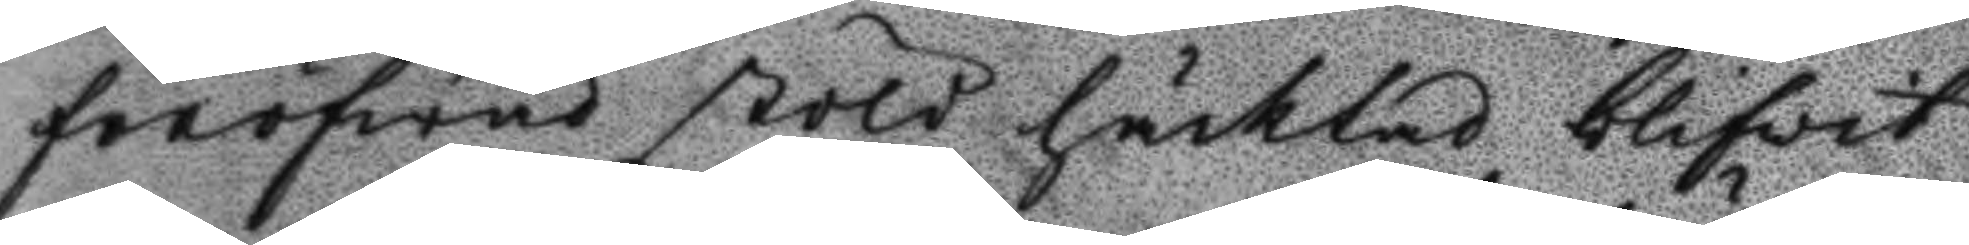föröfwad stöld häcktad blifwit
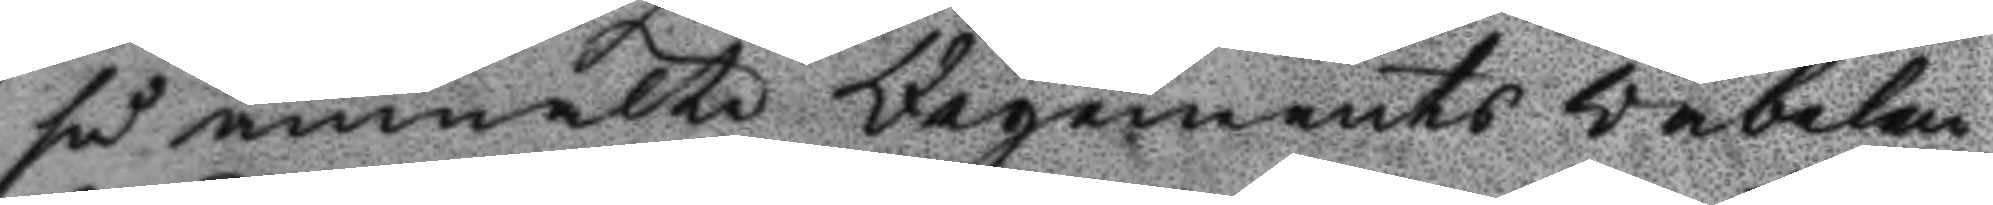så anmälte Regements väbelen
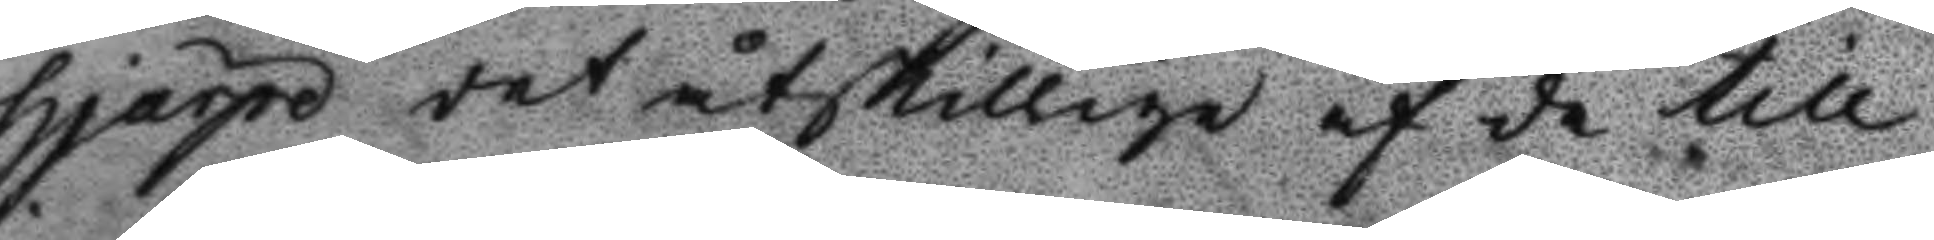Hjärpe det åtskillige af de till
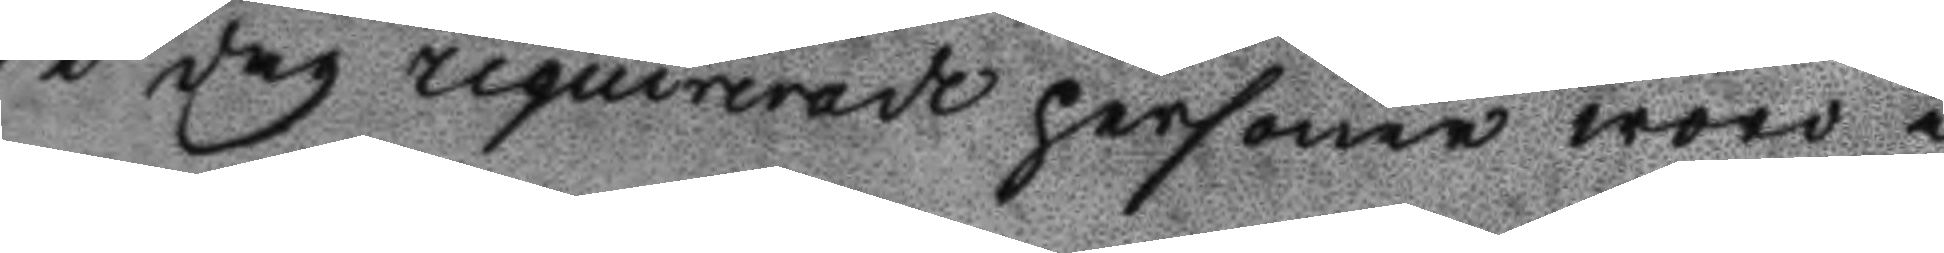i dag requirerade personer woro i
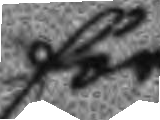för
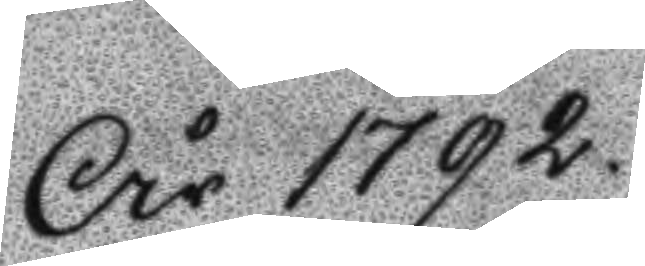År 1792
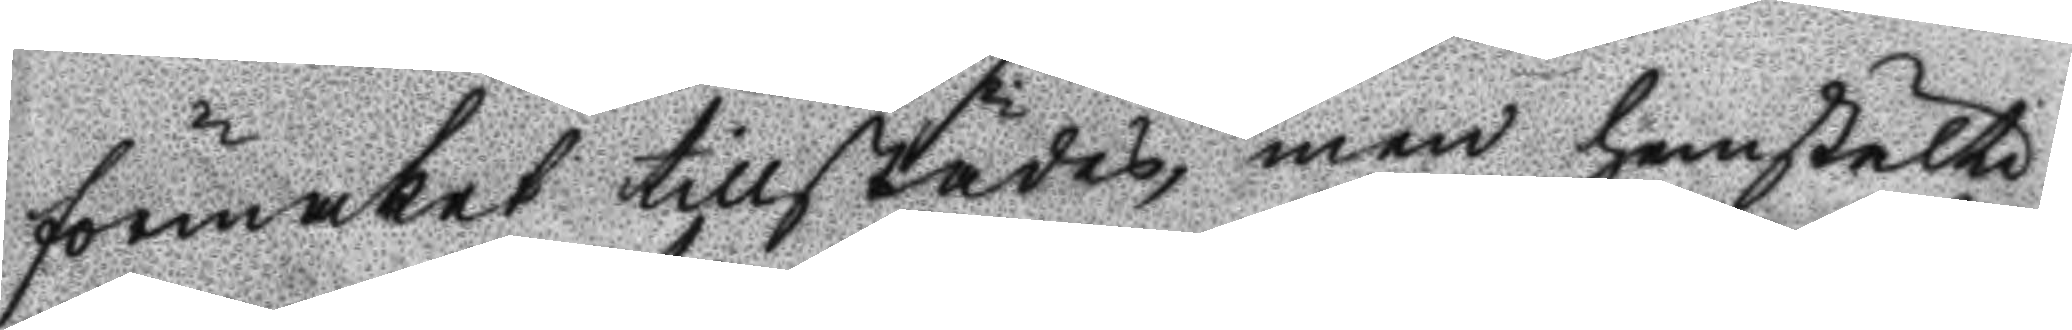förmaket tillstädes, men hemstälte
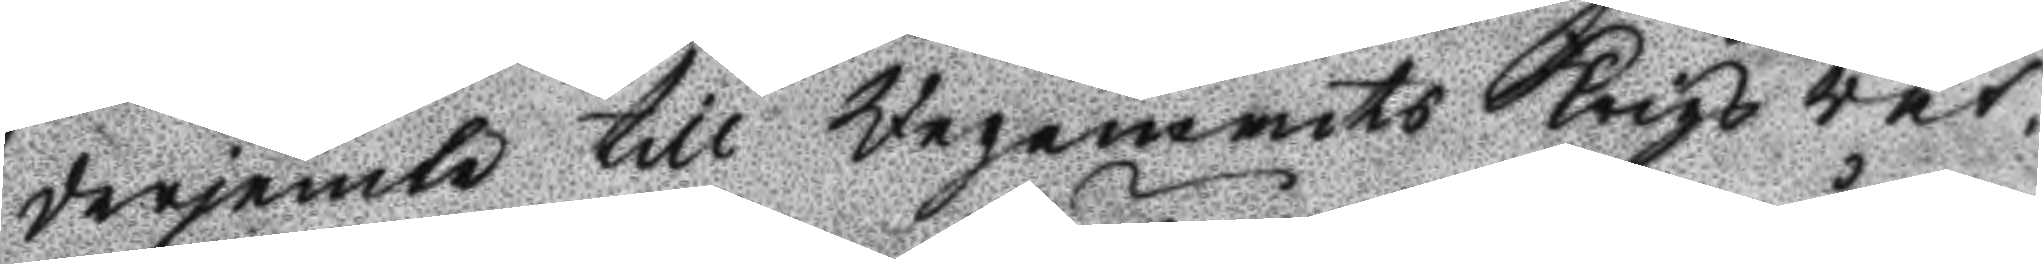derjemte till Regements Krigs rät¬
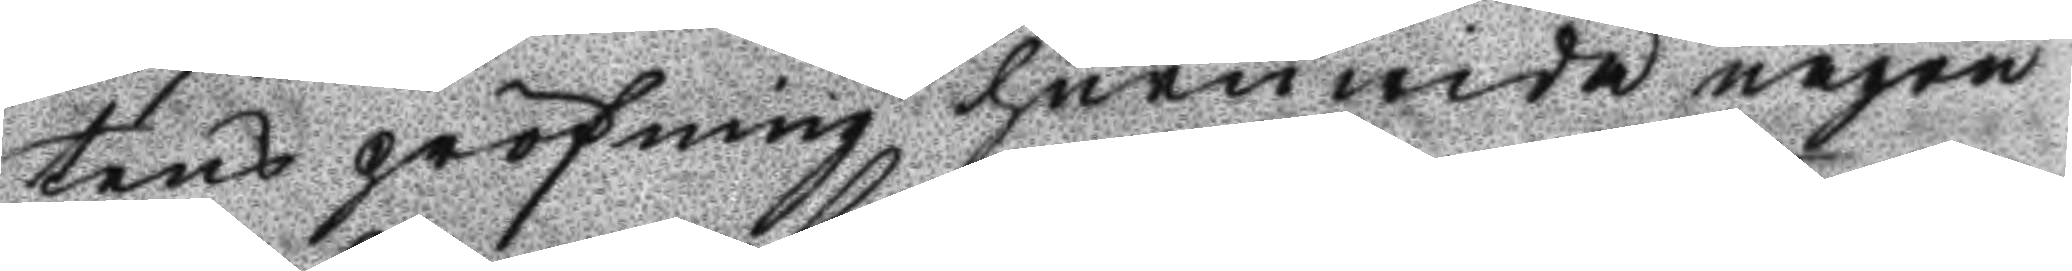tens pröfning huruwida någon
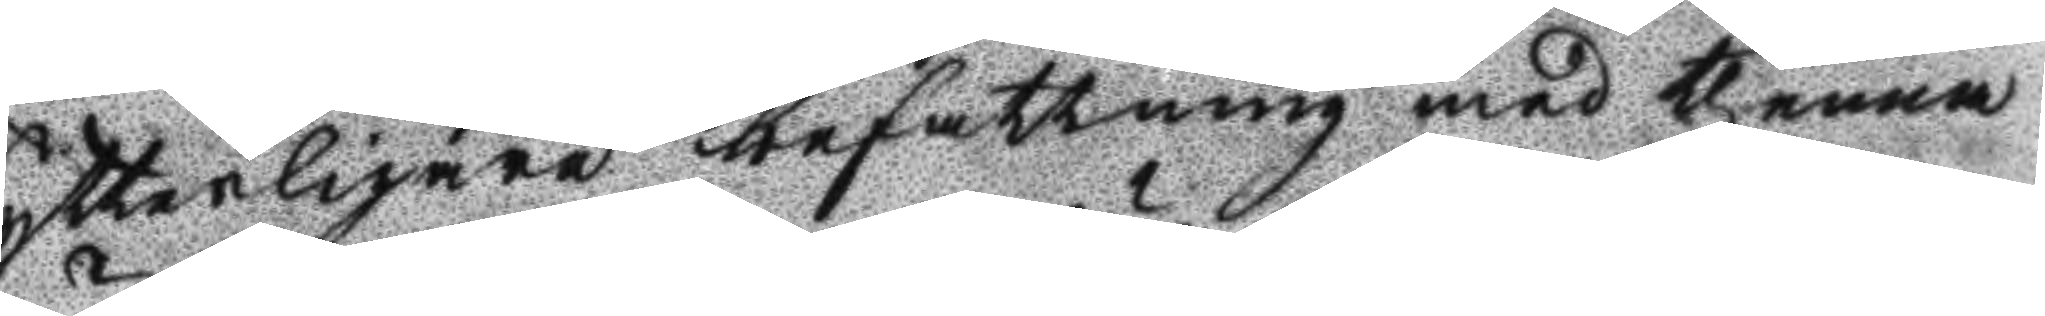ytterligare besattning med thenna
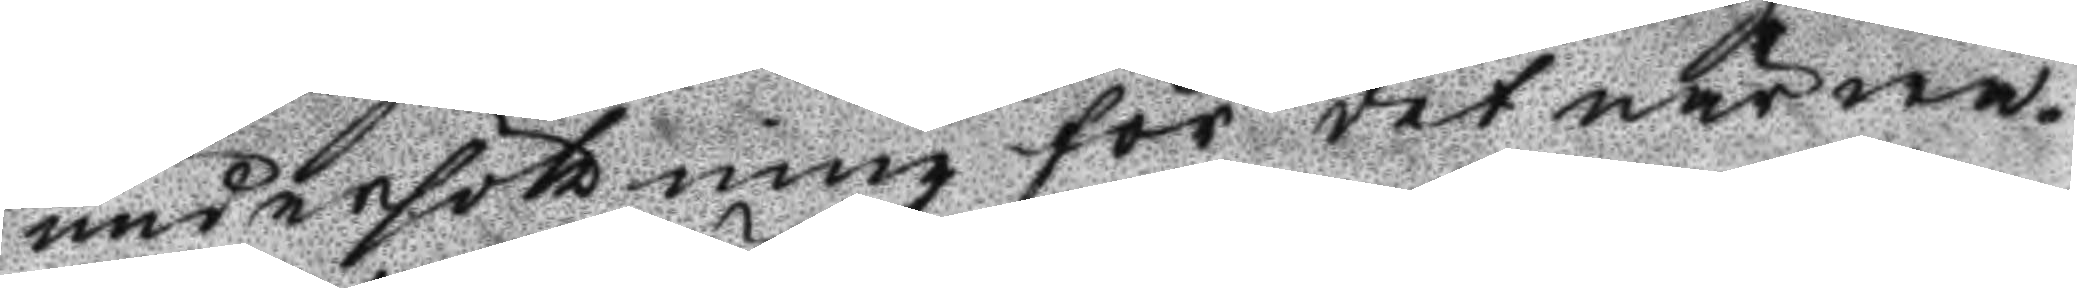undersökning för det närwa¬
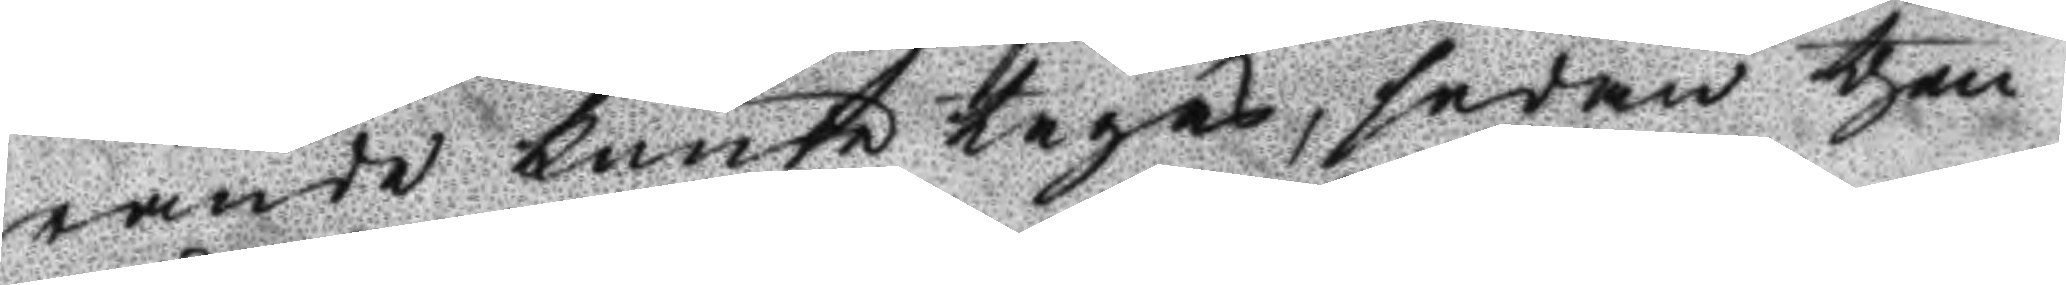rande kunde tagas, sedan then
